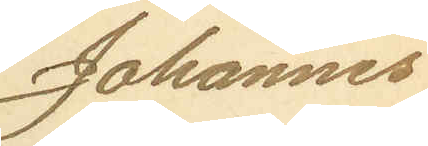Johannes
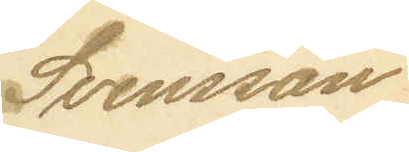Svensson
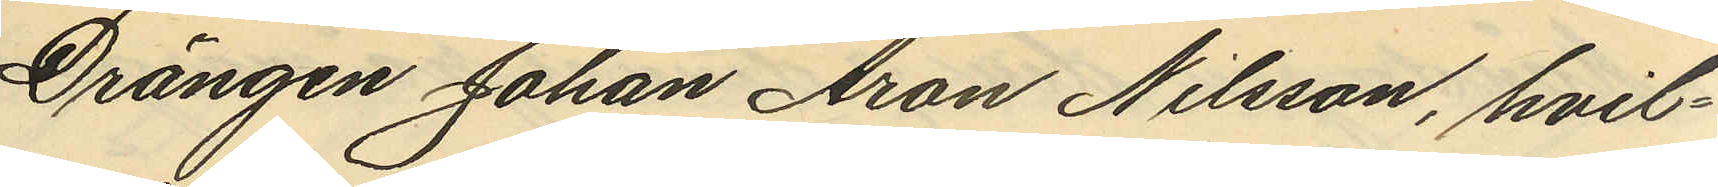Drängen Johan Aron Nilsson, hvil¬
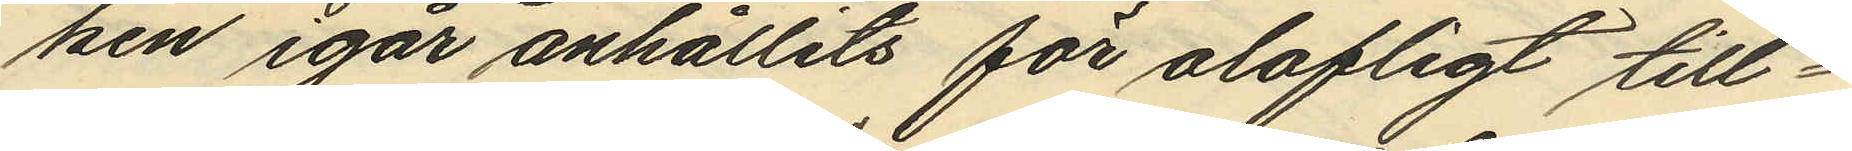ken igår anhållits för olofligt till¬
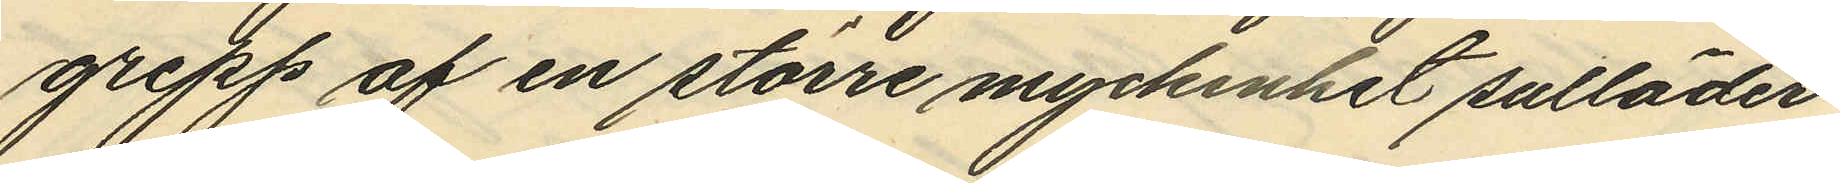grepp af en större myckenhet sulläder
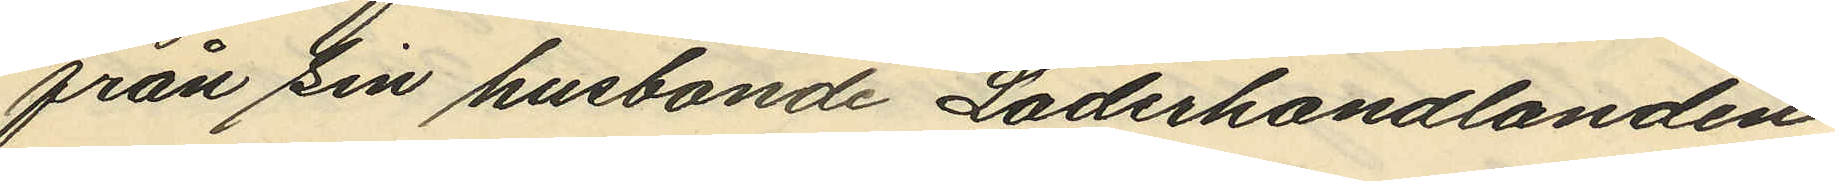från sin husbonde Läderhandlanden
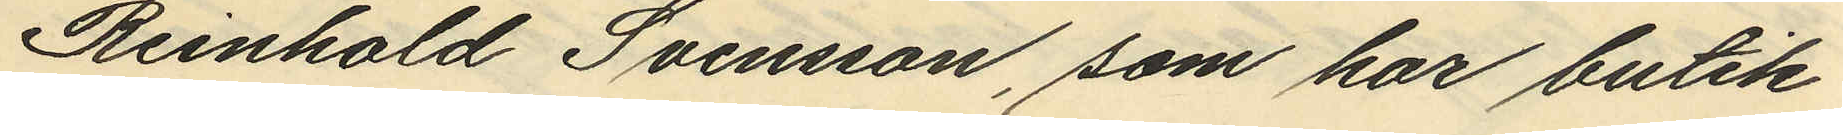Reinhold Svensson, som har butik
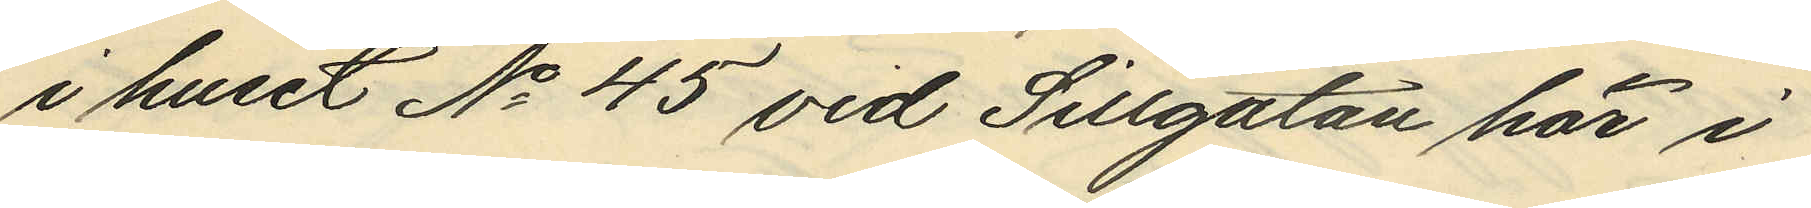i huset No 45 vid Sillgatan här i
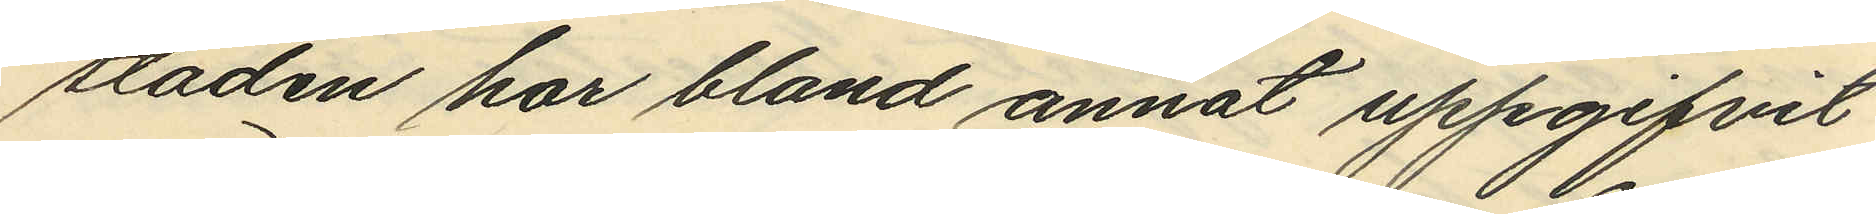staden har bland annat uppgifvit
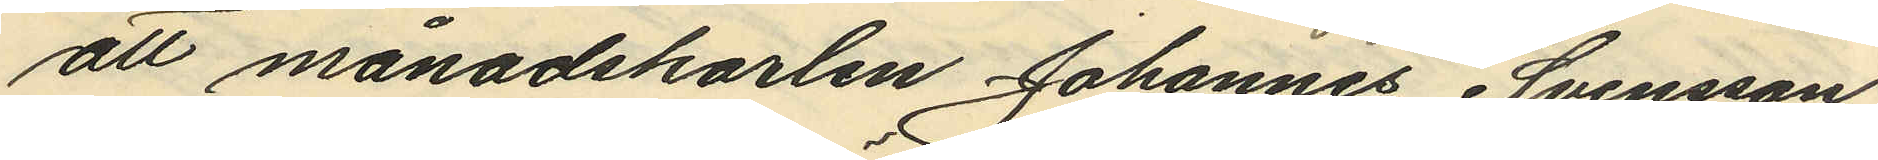att månadskarlen Johannes Svensson,
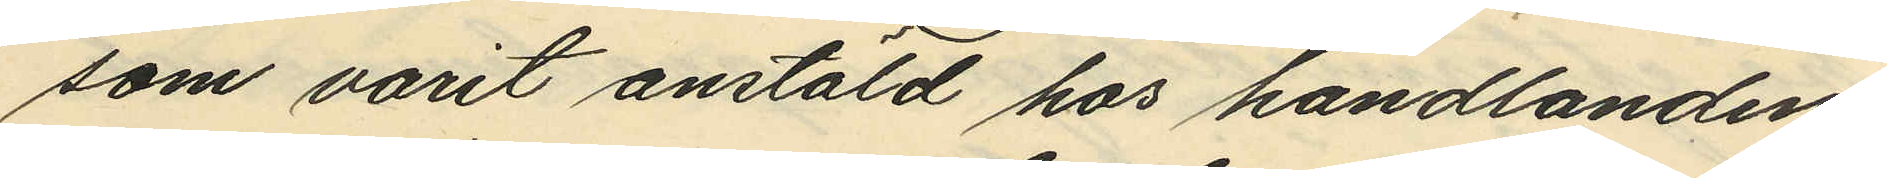som varit anstäld hos handlanden
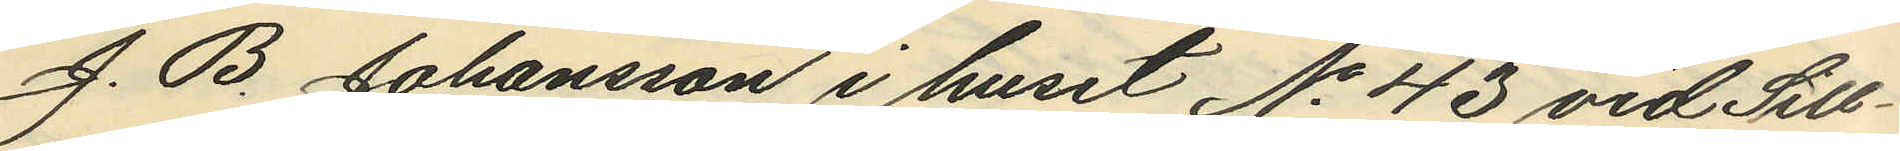J. B. Johansson i huset No 43 vid Sill¬
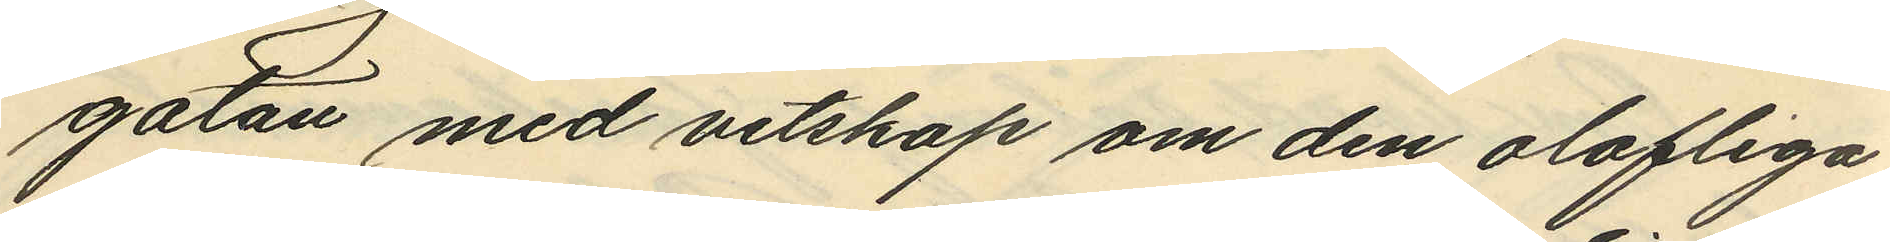gatan med vetskap om den olofliga
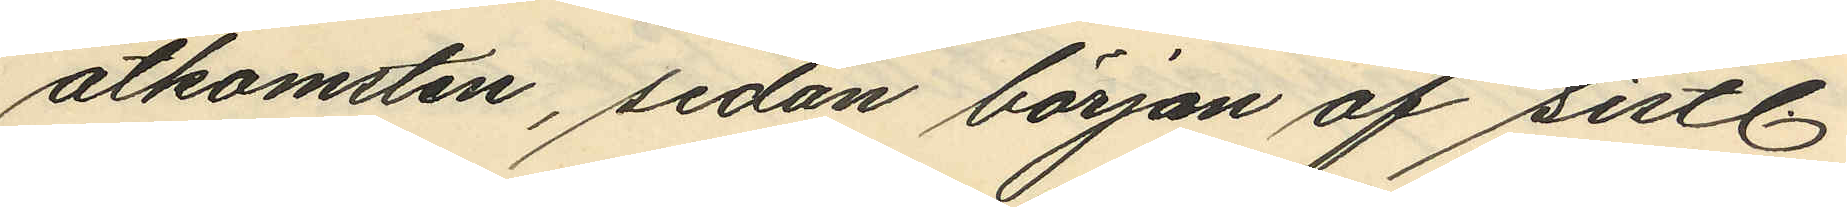åtkomsten, sedan början af sistl.
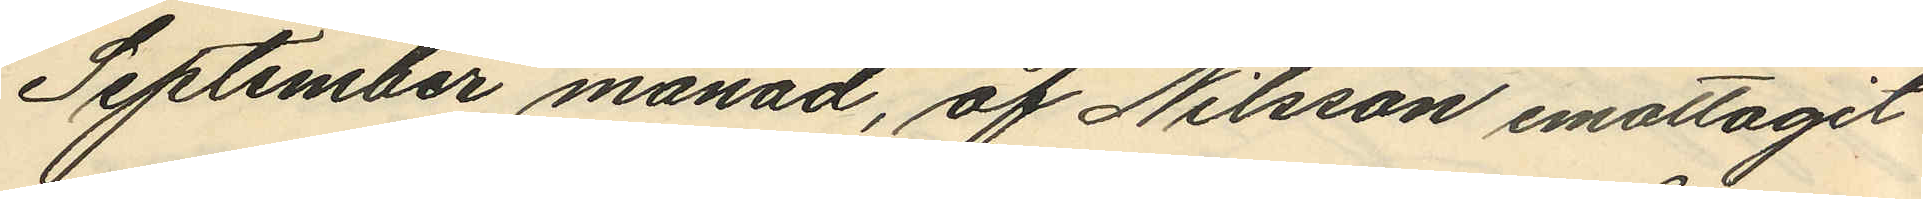September månad, af Nilsson emottagit
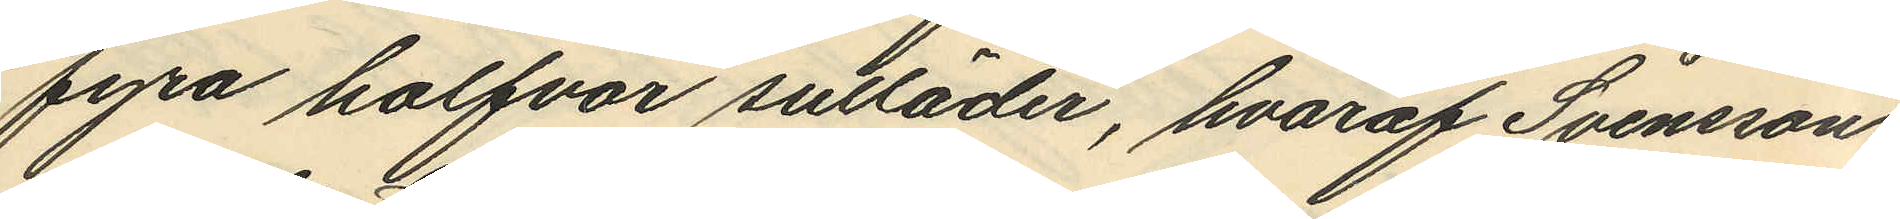fyra halfvor sulläder, hvaraf Svensson
